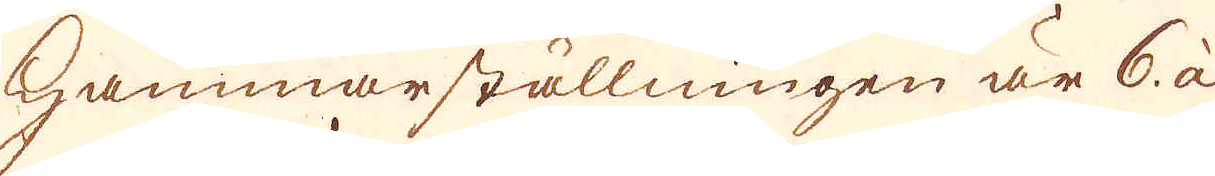Hammarställningen är 6 à
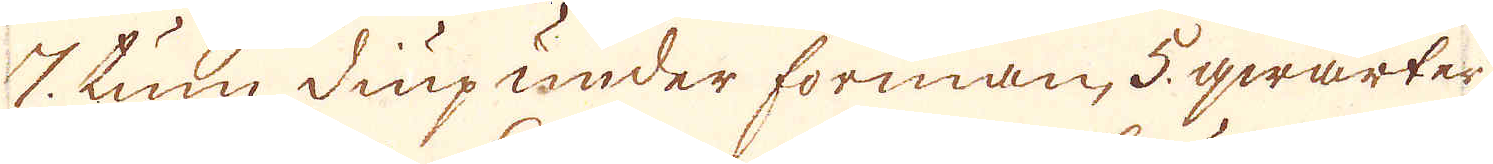7 tum diup under forman, 5 qwarter
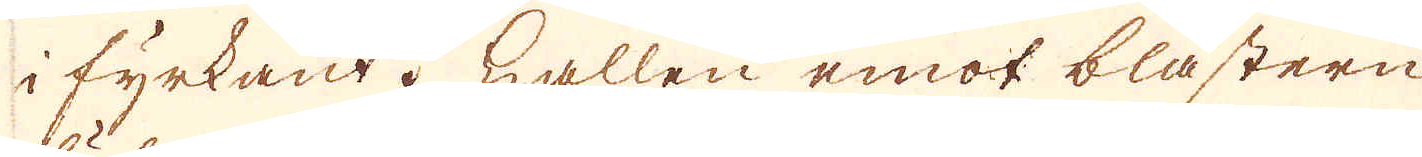i fyrkant. Hallen emot blästern
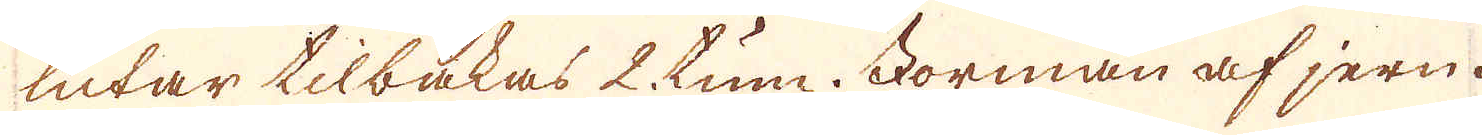lutar tilbakas 2 tum. Forman af jern.
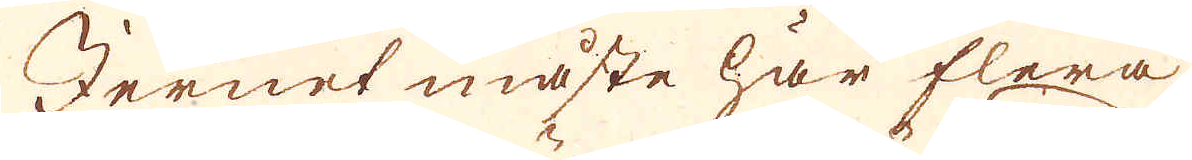Jernet måste här flera
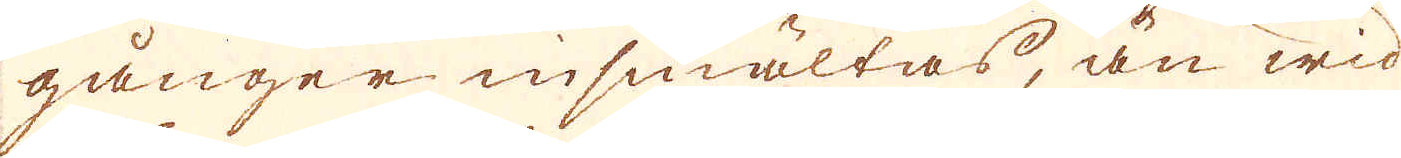gånger insmältas, än wid
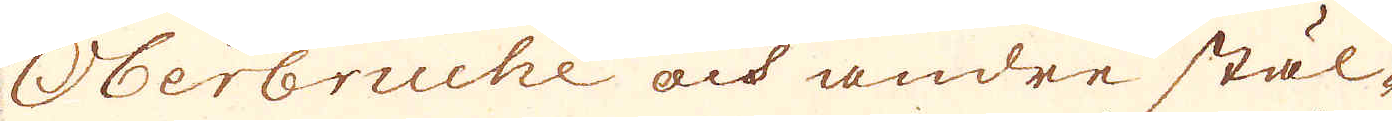Oberbruche och andre stäl-
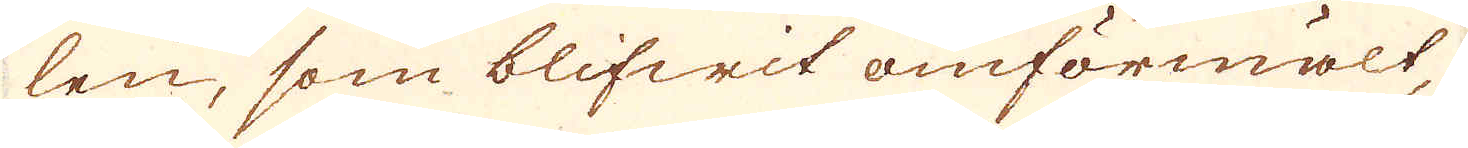len, som blifwit omförmält,
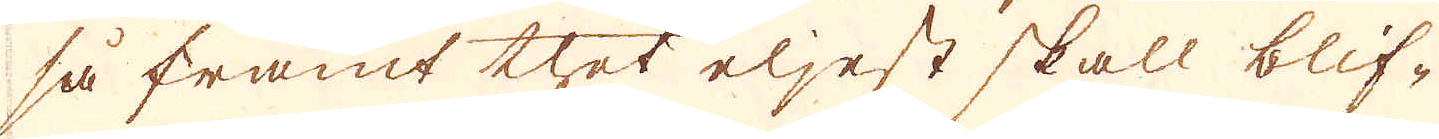så framt thet eljest skall blif-
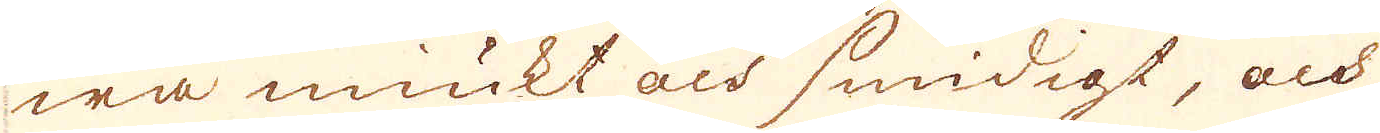wa miukt och smidigt, och
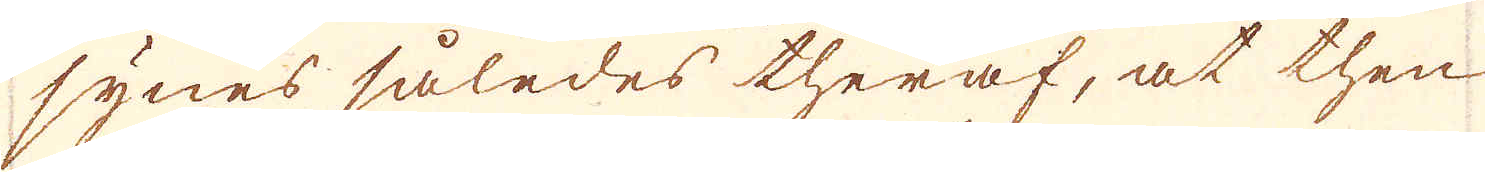synes således theraf, at then
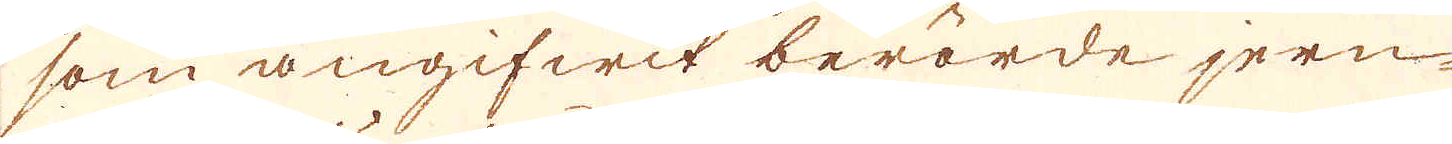som angifwit berörde jern-
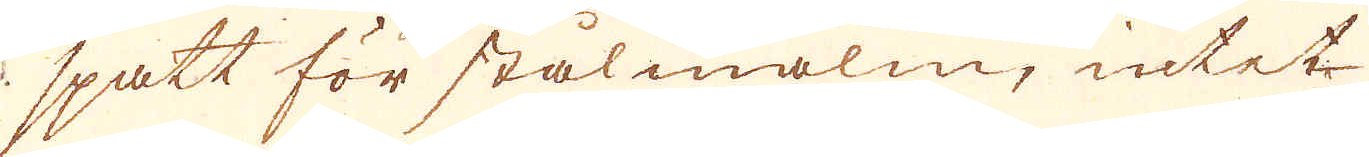spatt för stålmalm, intet
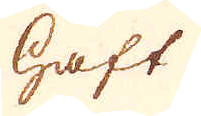haft
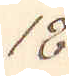18.
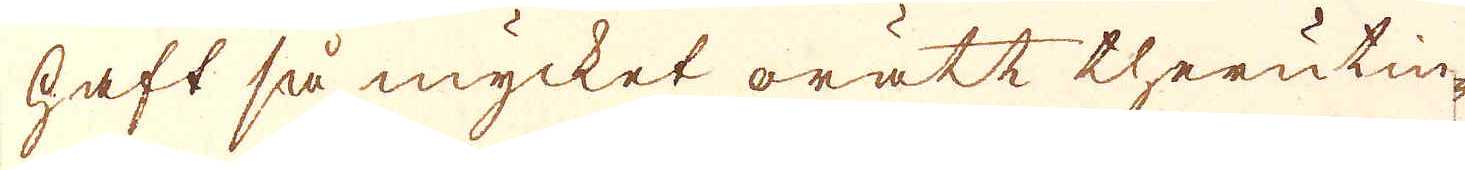haft så mycket orätt therutin-
